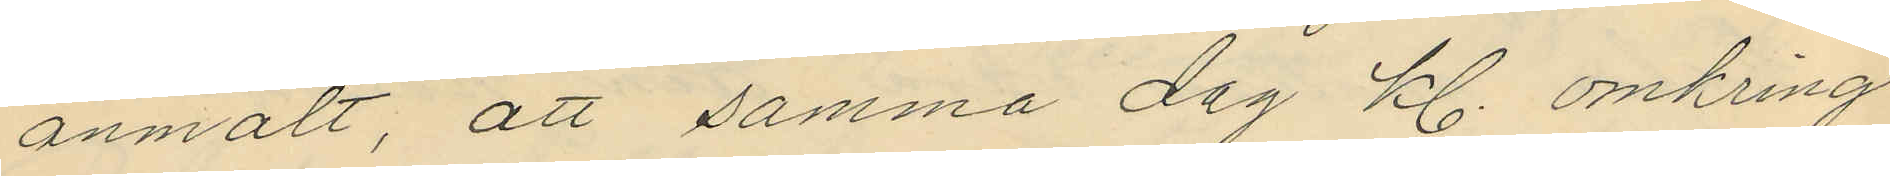anmält, att samma dag kl. omkring
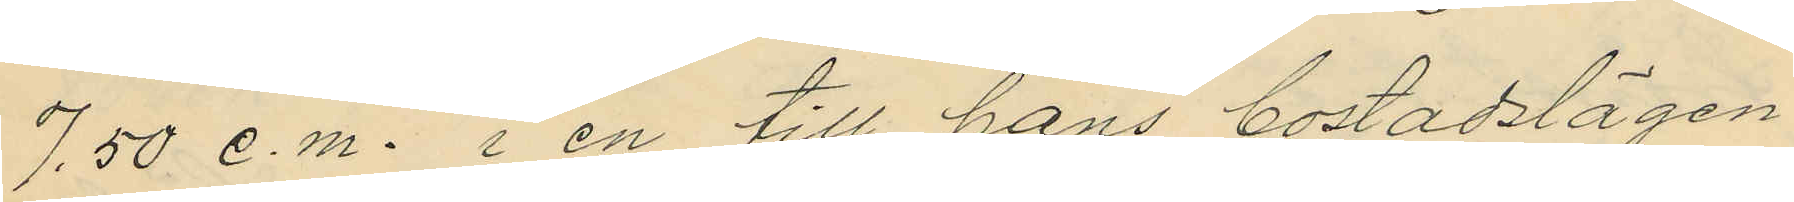7.50 e.m. i en till hans bostadslägen¬
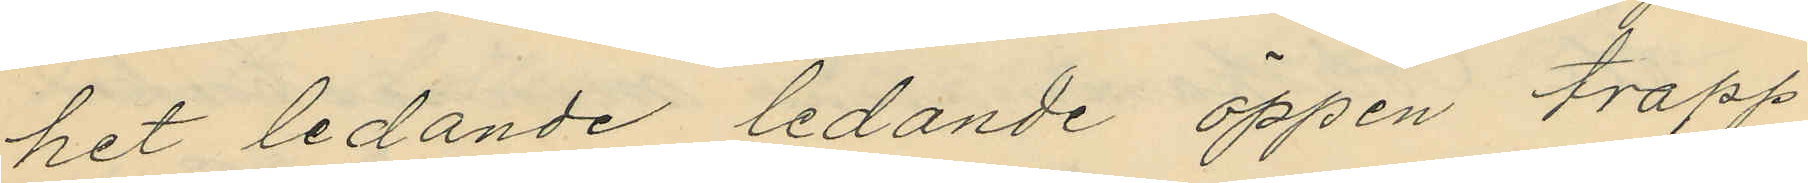het ledande ledande öppen trapp¬
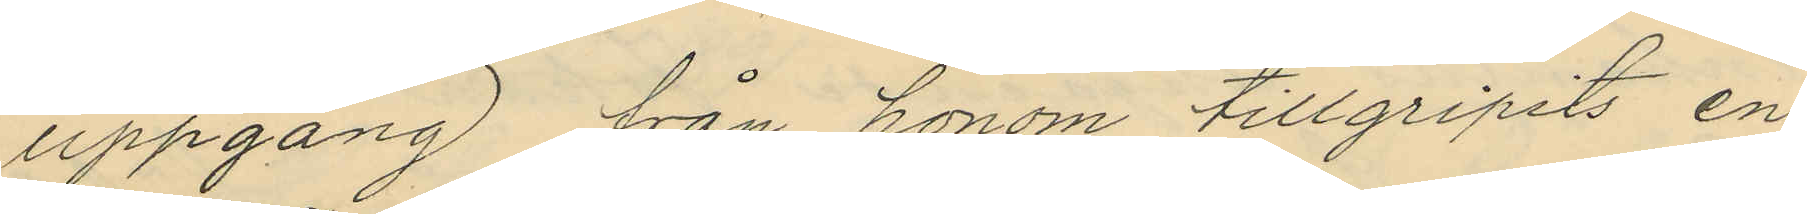uppgång från honom tillgripits en
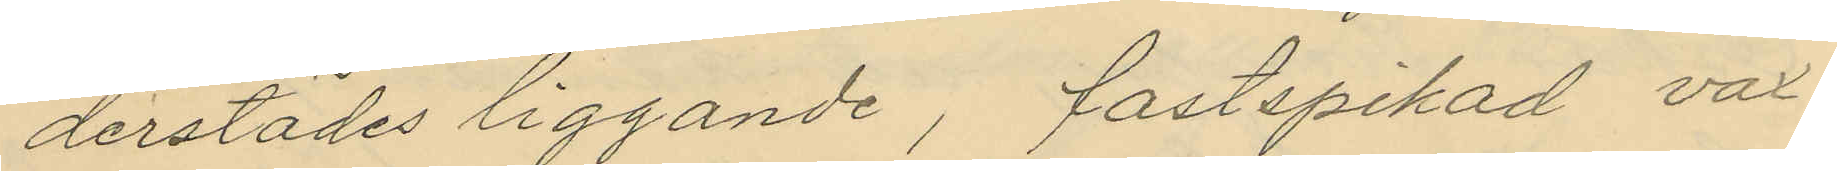derstädes liggande, fastspikad vax¬
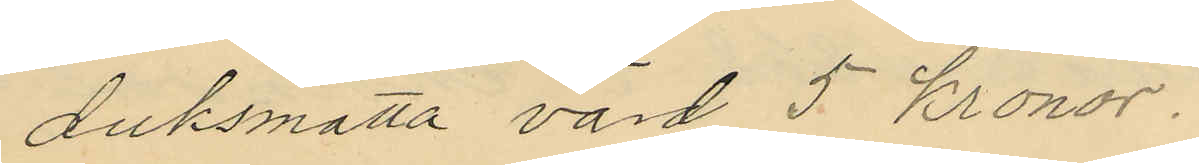duksmatta värd 5 kronor.
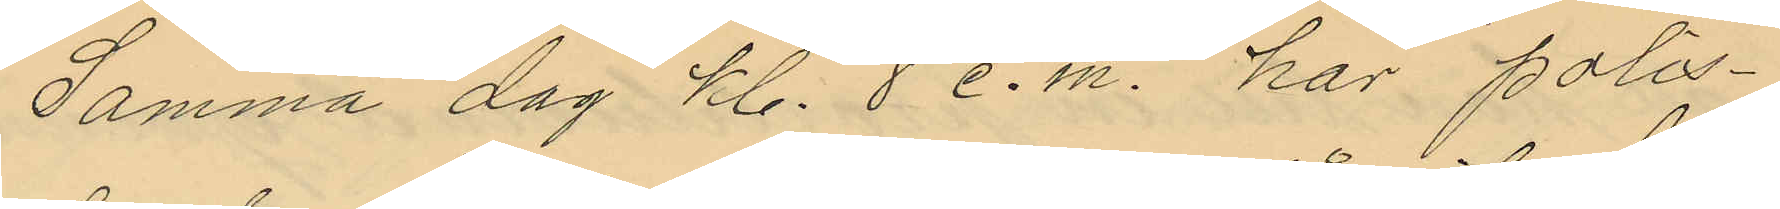Samma dag kl. 8 e.m. hos polis¬
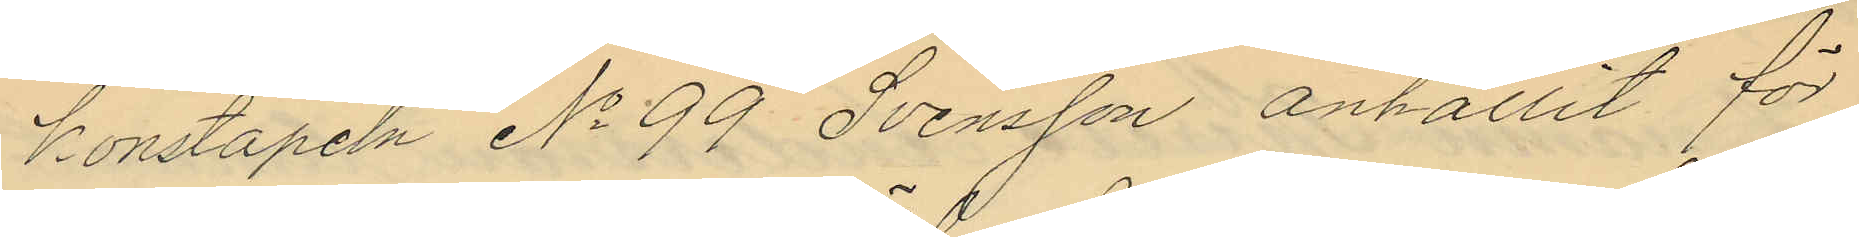konstapeln No 99 Svensson anhållit för
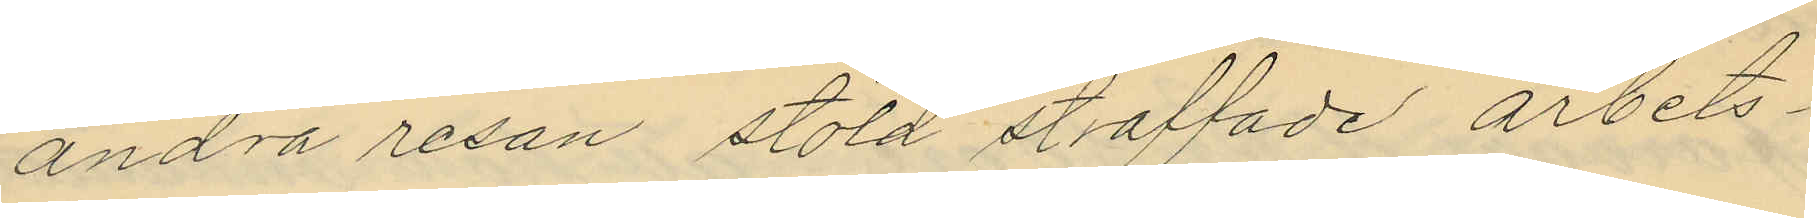andra resan stöld straffade arbets¬
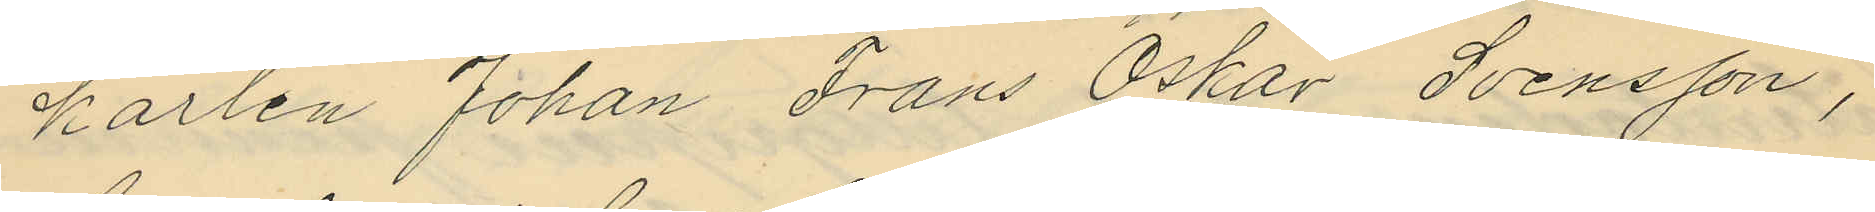karlen Johan Frans Oskar Svensson,
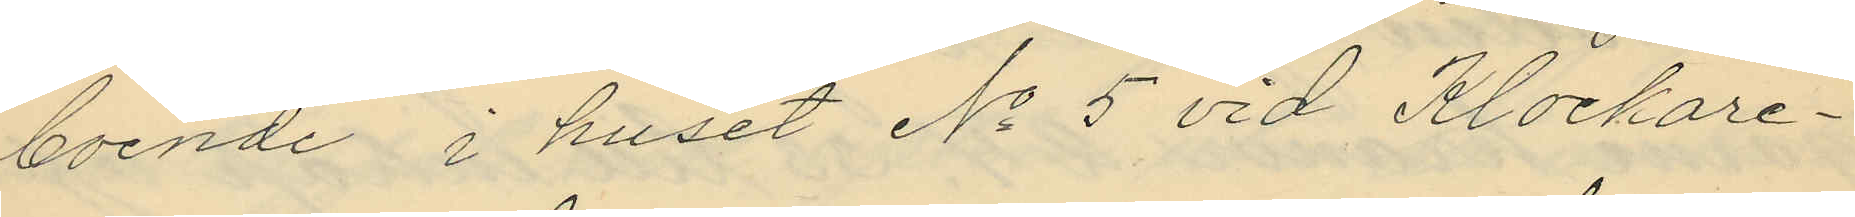boende i huset No 5 vid Klockare¬
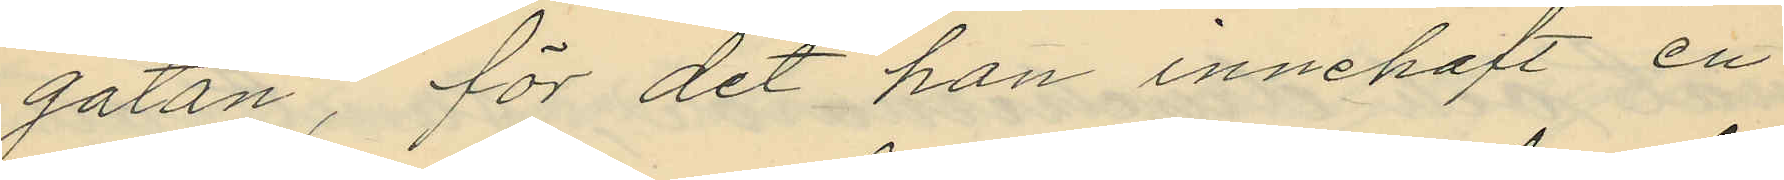gatan, för det han innehaft en
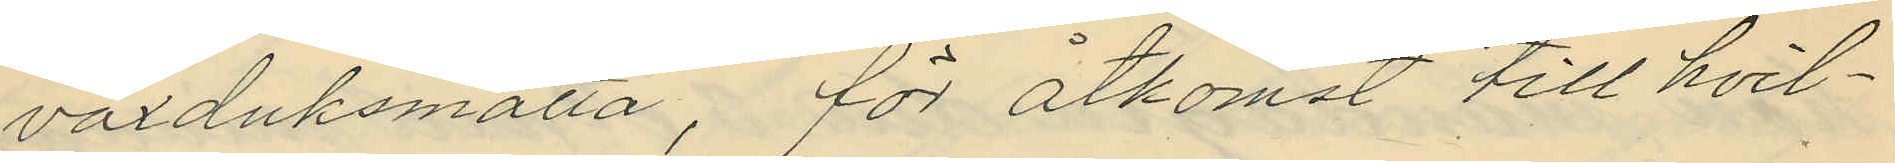vaxduksmatta, för åtkomst till hvil¬
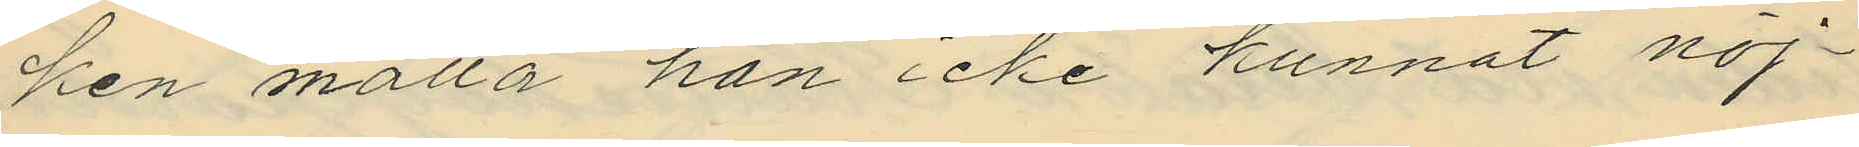ken matta han icke kunnat nöj¬
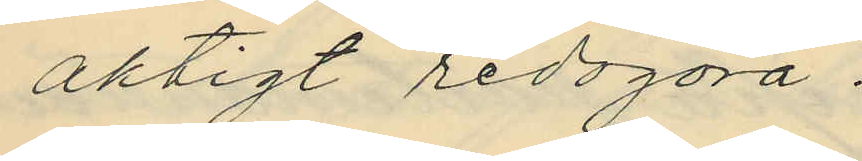aktigt redogöra.
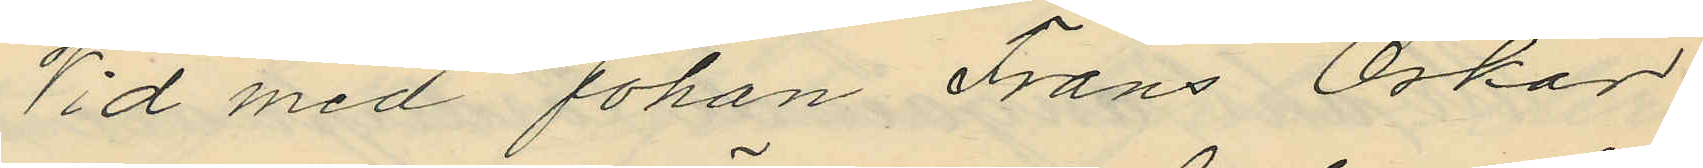Vid med Johan Frans Oskar
